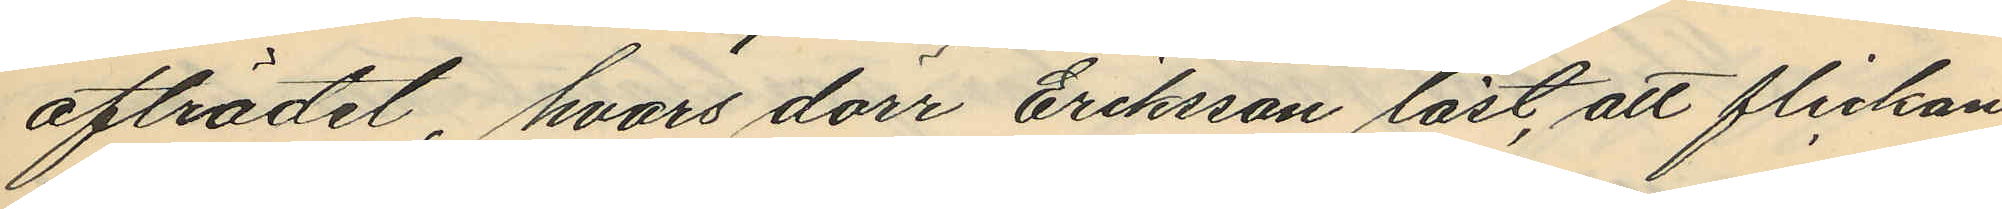afträdet, hvars dörr Eriksson låst, att flickan
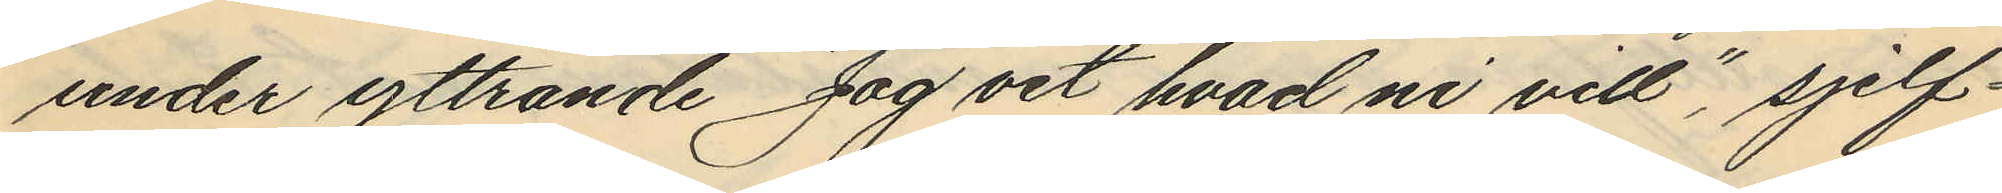under yttrande "Jag vet hvad ni vill", sjelf¬
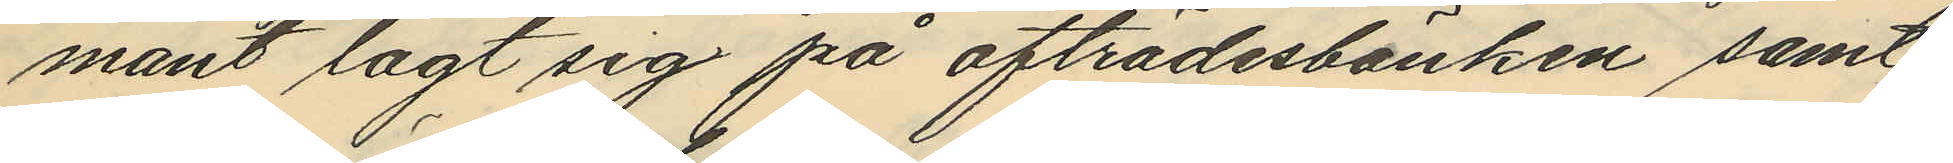mant lagt sig på afträdesbänken samt
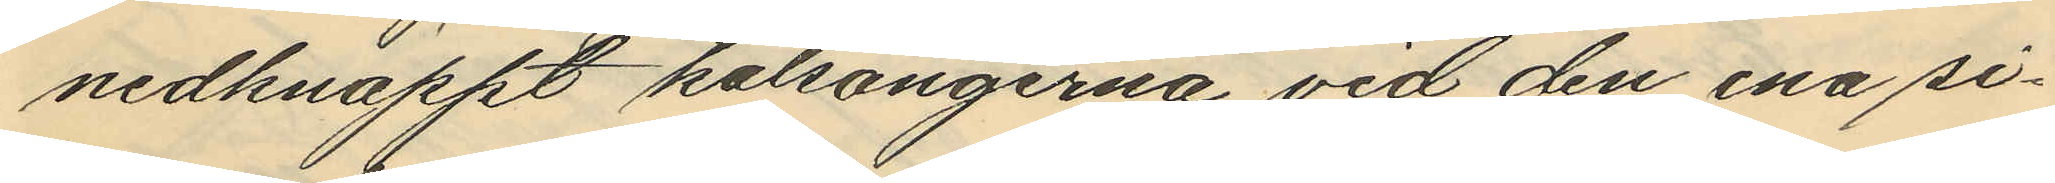nedknäppt kalsongerna vid den ena si¬
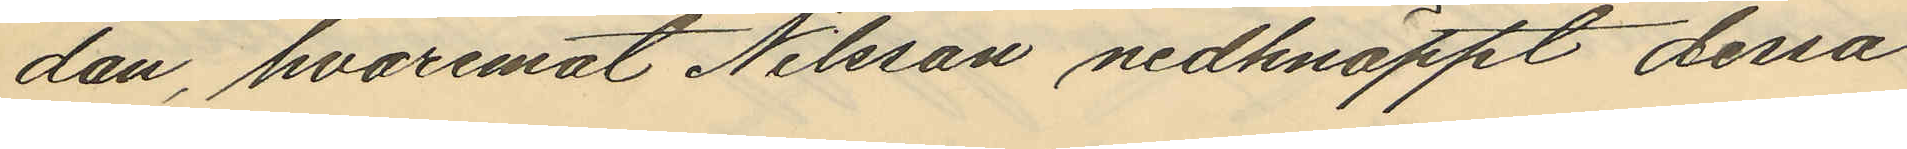dan, hvaremot Nilsson nedknäppt dessa
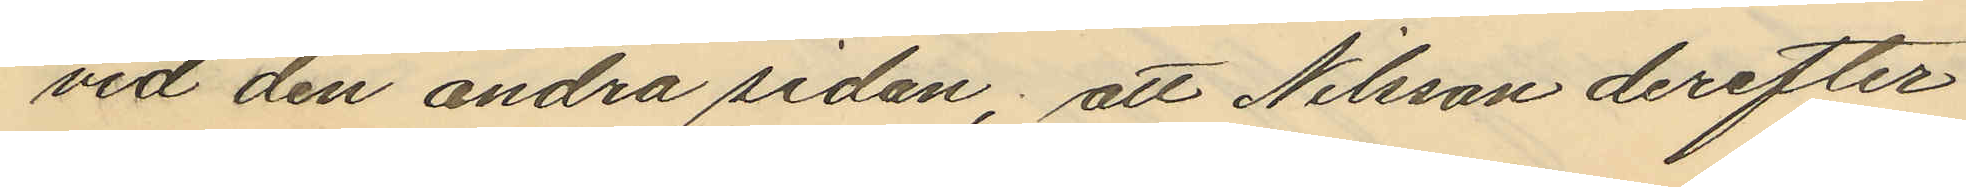vid den andra sidan; att Nilsson derefter
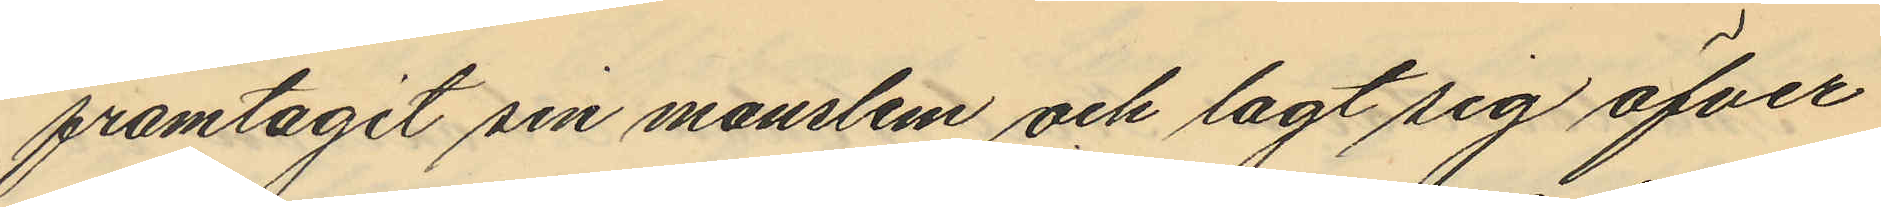framtagit sin manslem och lagt sig öfver
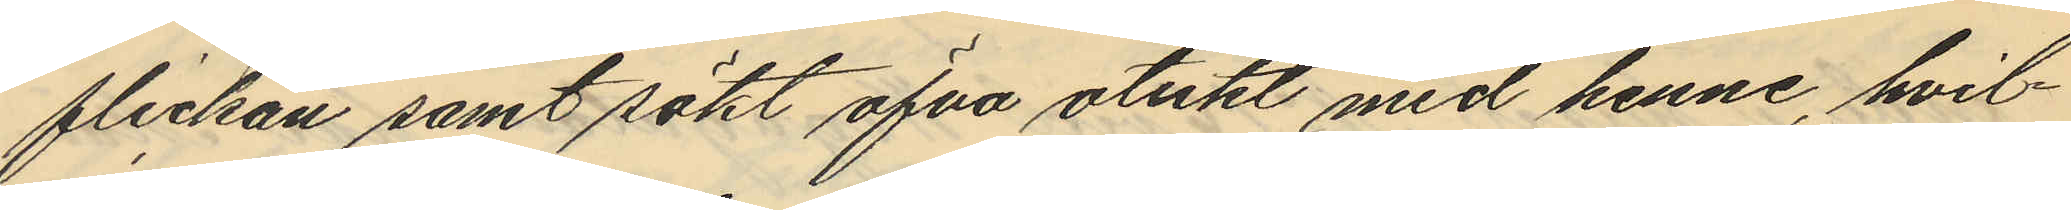flickan samt sökt öfva otukt med henne, hvil¬
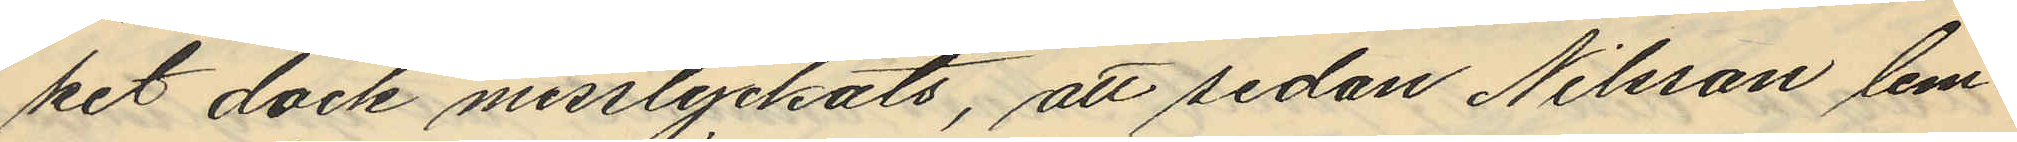ket dock misslyckats, att sedan Nilsson lem¬
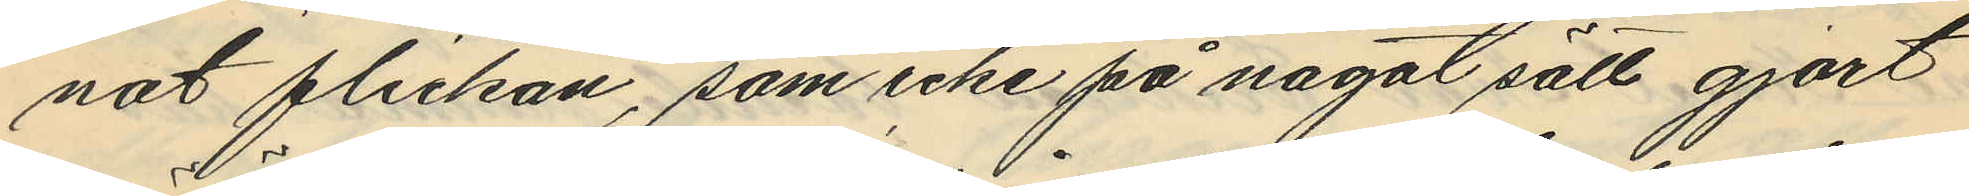nat flickan, som icke på något sätt gjort
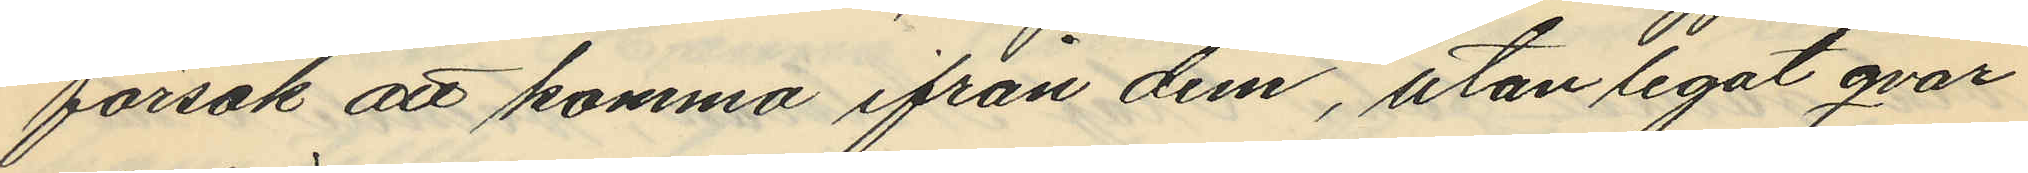försök att komma ifrån dem, utan legat qvar
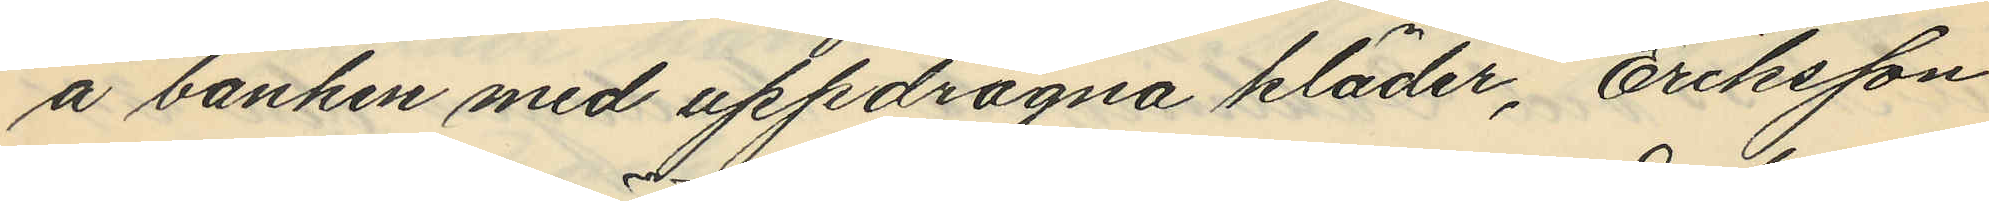å bänken med uppdragna kläder, Eriksson
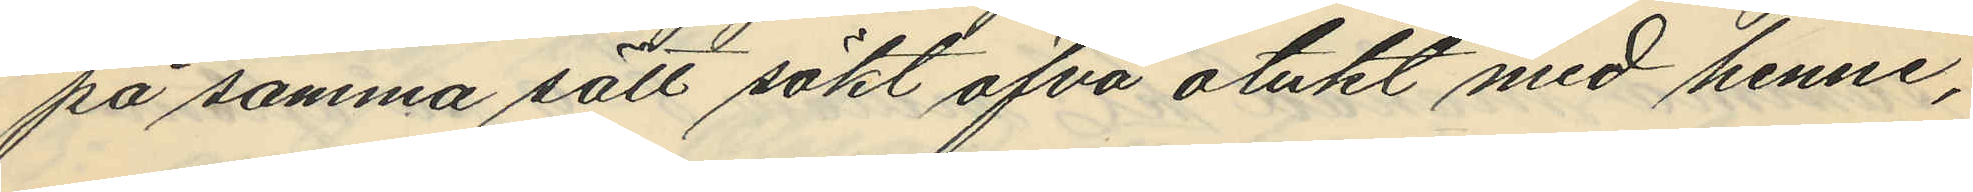på samma sätt sökt öfva otukt med henne,
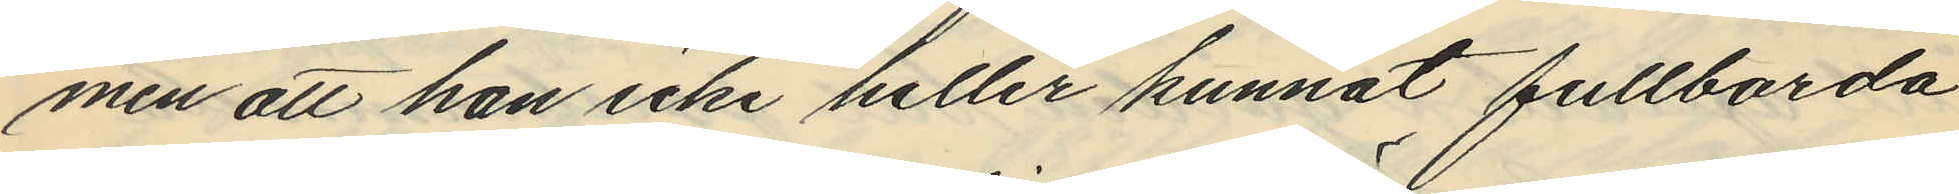men att han icke heller kunnat fullborda
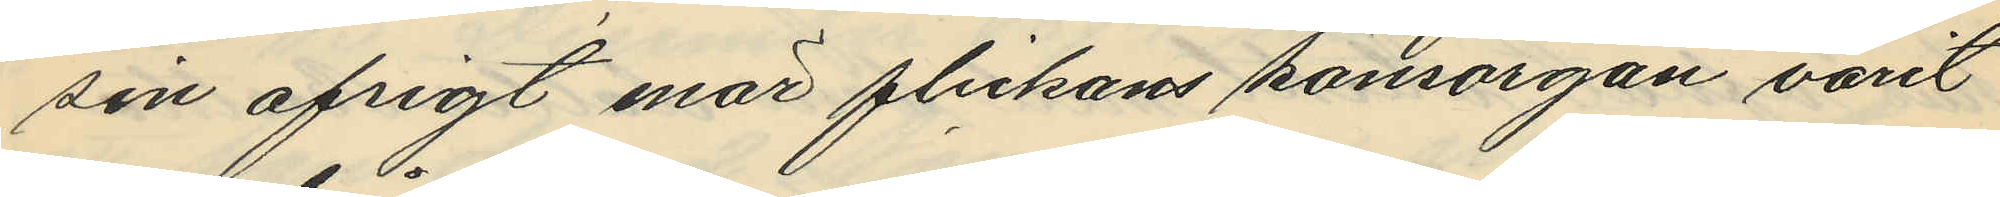sin afsigt enär flickans könsorgan varit
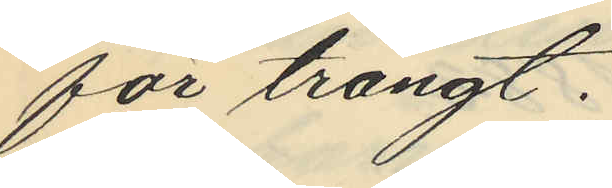för trångt.
